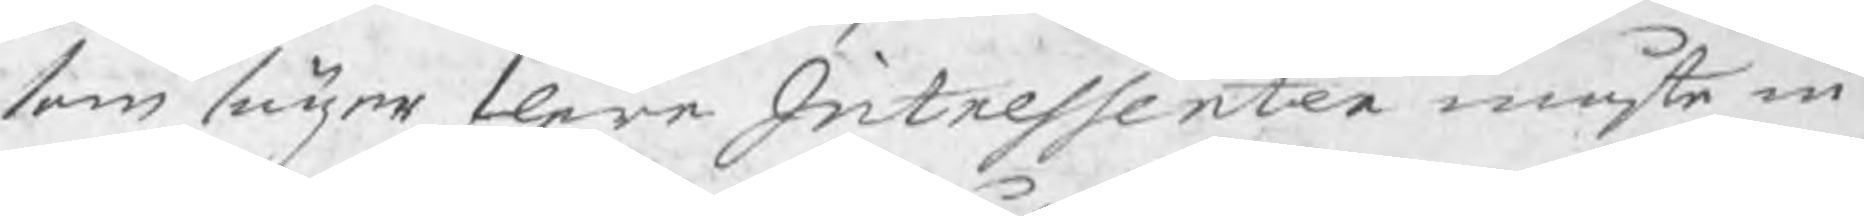som seijer flere Intressenter måste in
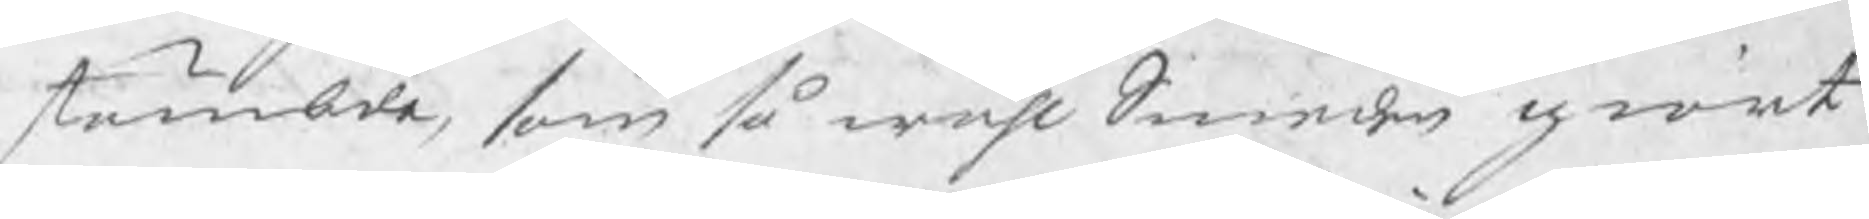stämbde, som så wähl Smeden giort
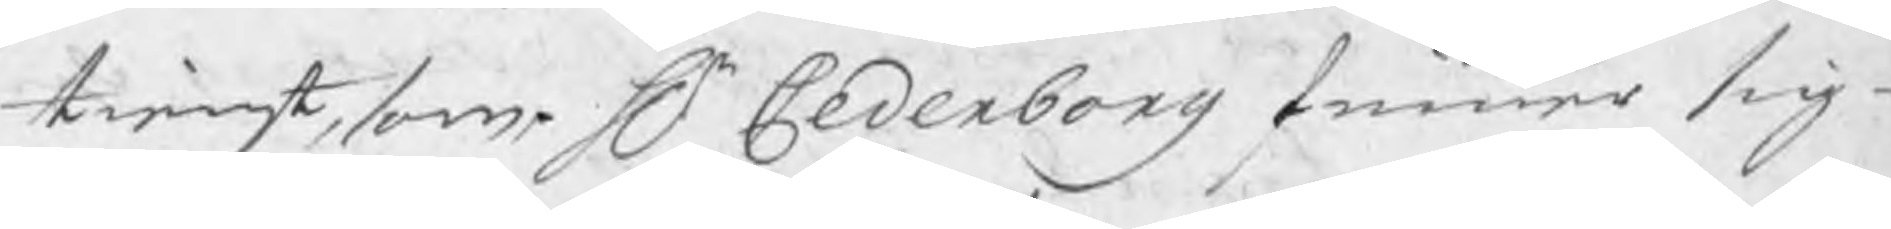tienst, som Hr Cederborg Finner sig
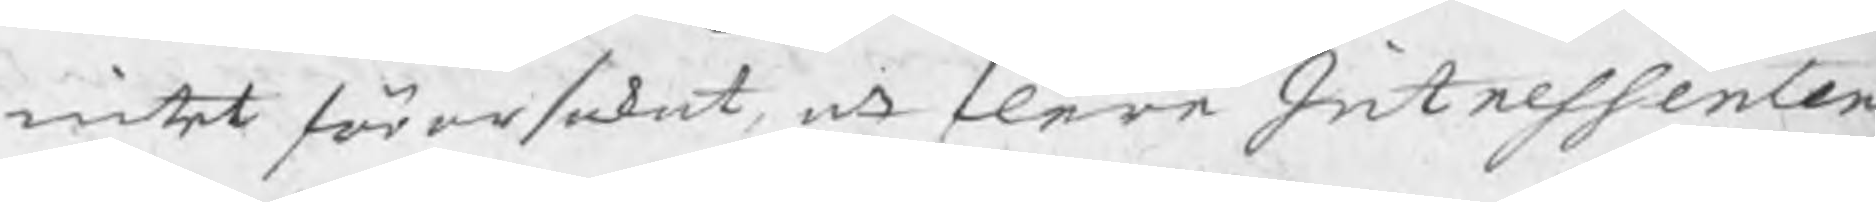intet förorsakat, att flere Intressenter
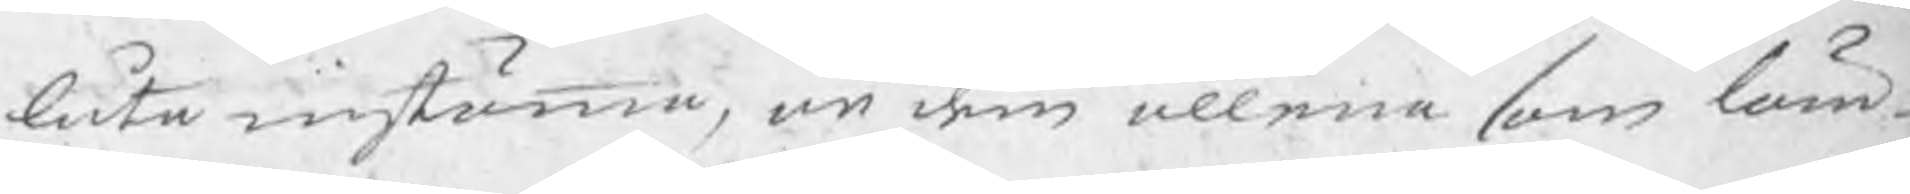låta instämma, än dem allena som läm
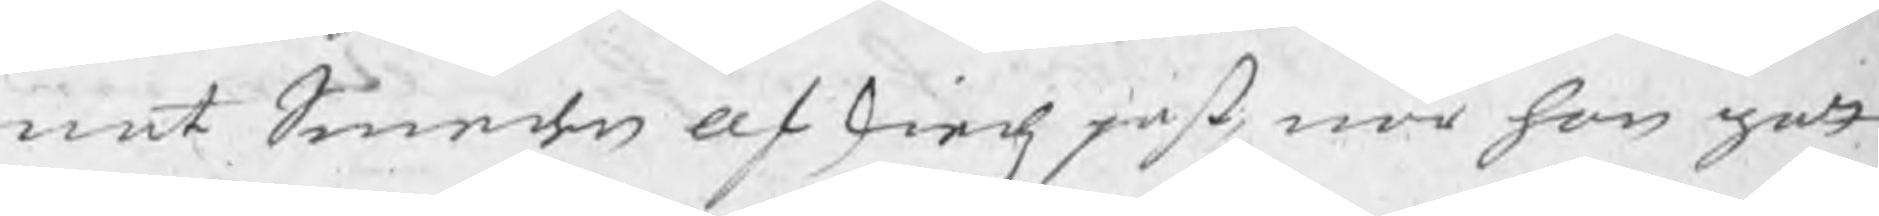nat Smeden afskiedspaß, när han gott
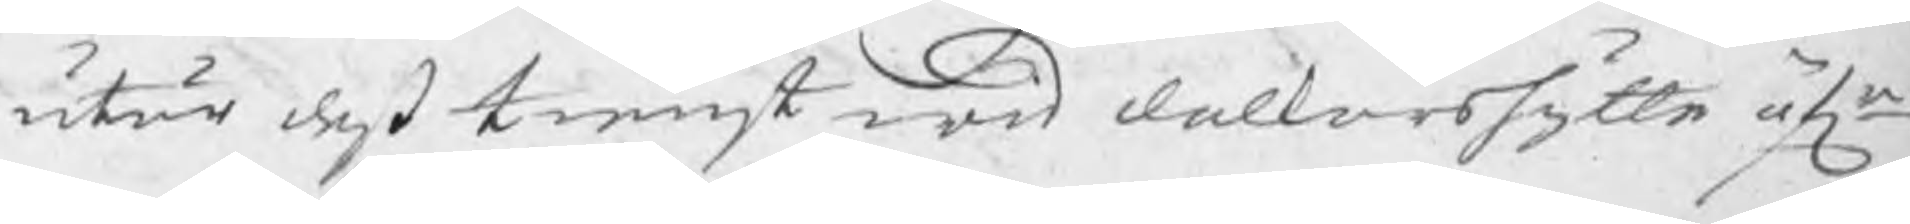utur deß tienst wid dalkarshytte öfr
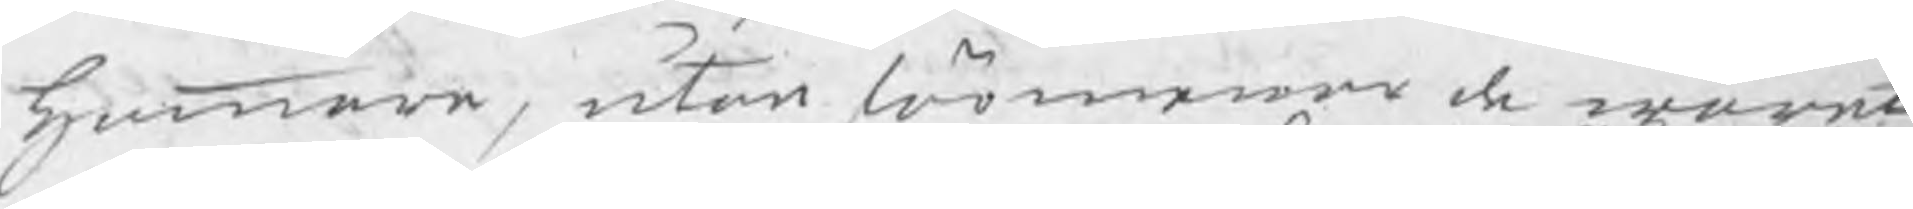hammare, utan förmenar de waret
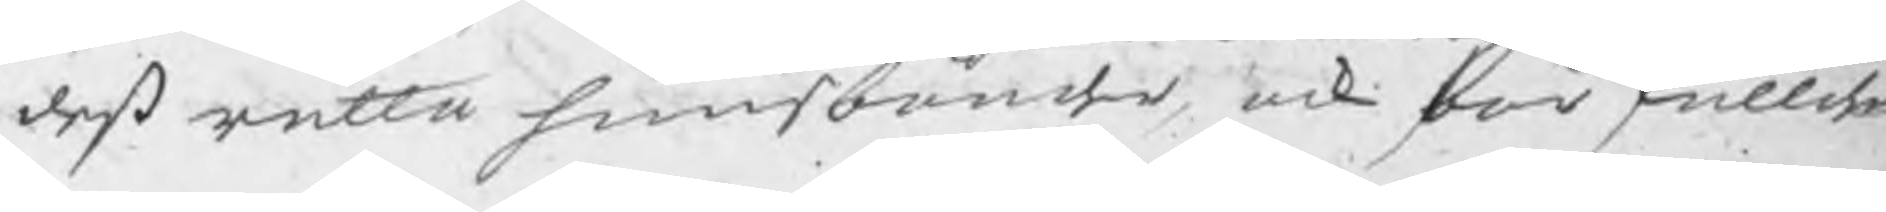deß rätta huusbönder, ock bör skullden
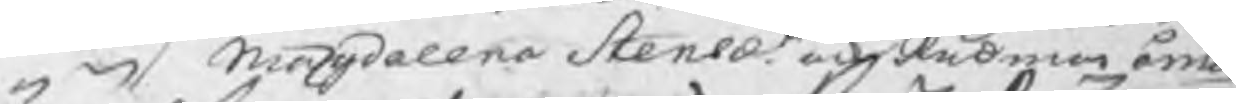Magdalena Stensdr. ock Rådman Öman
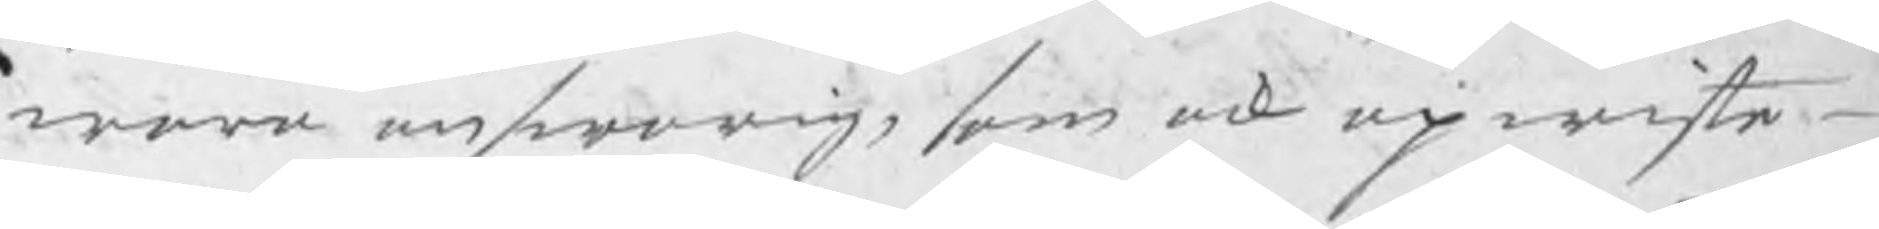wara answarig, som ock upwiste
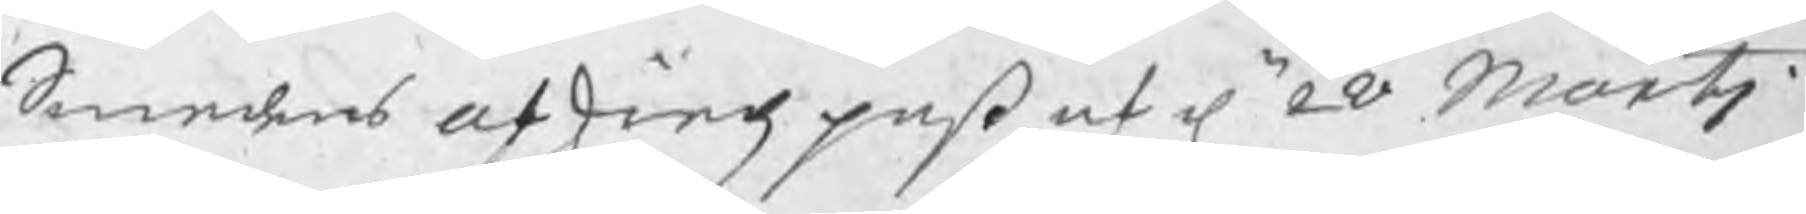Smedens afskiedspaß af d. 28 Martj
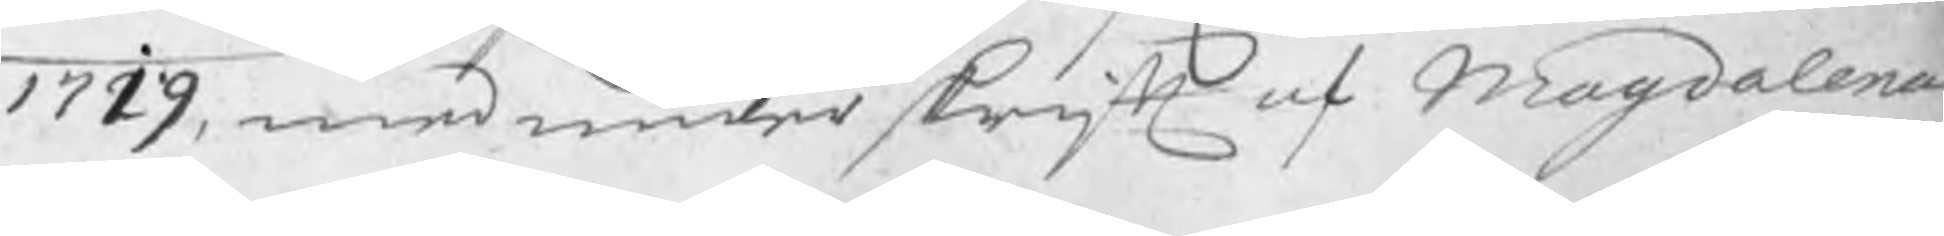1719, med underskrift af Magdalena
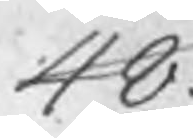48.
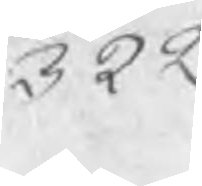322
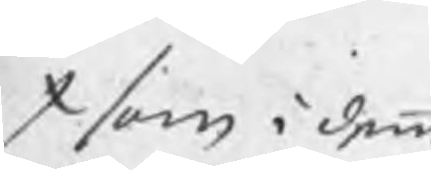x som i denne
